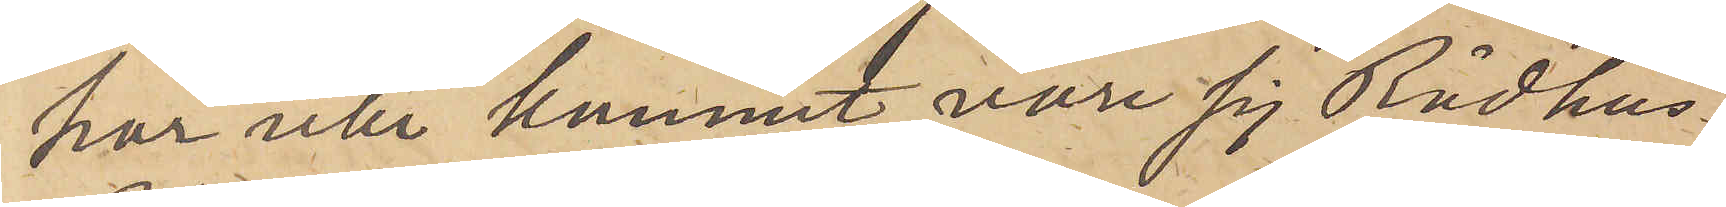har icke kommit vare sig Rådhus¬
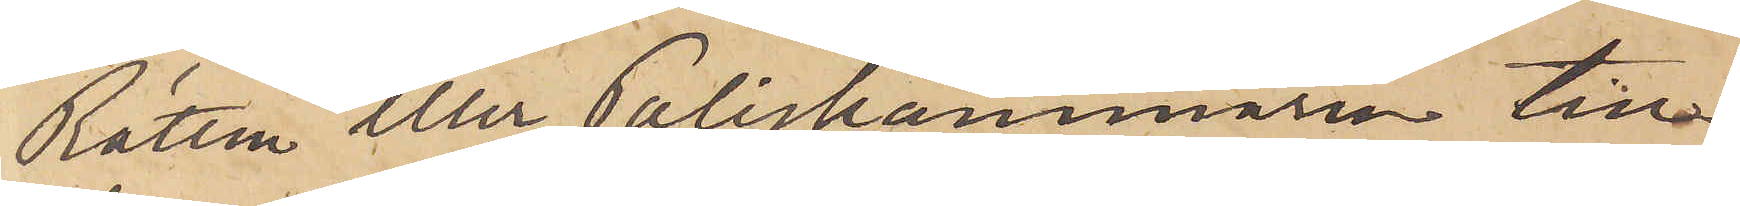Rätten eller Poliskammaren till¬
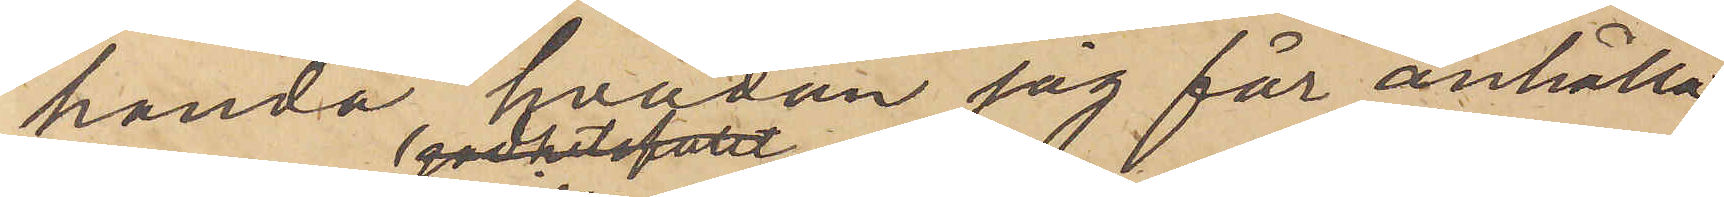handa, hvadan jag får anhålla,
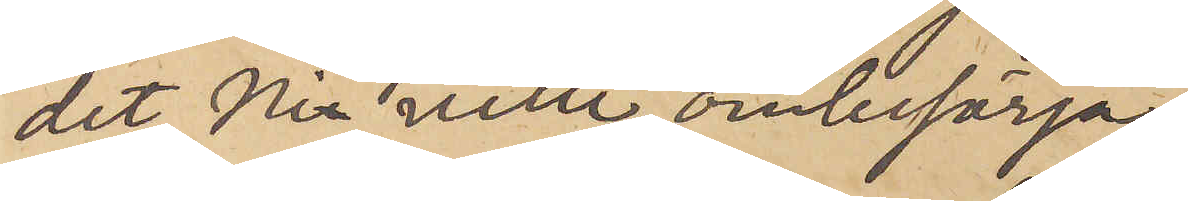det Ni ville ombesörja,
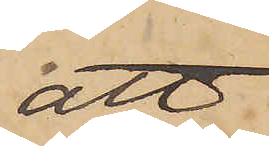att
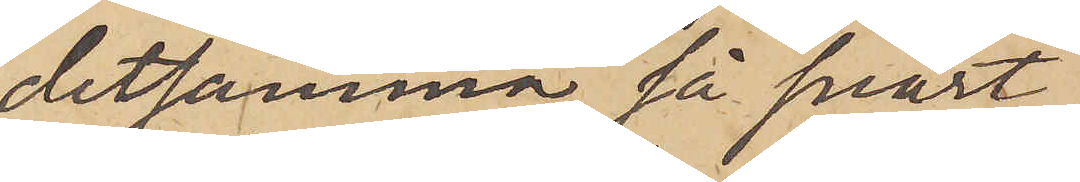detsamma så snart
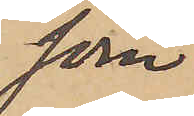som
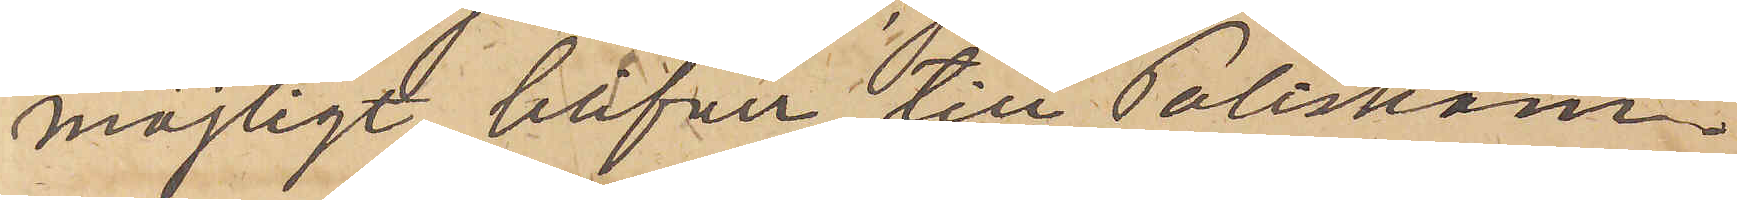möjligt, blifver till Poliskam¬
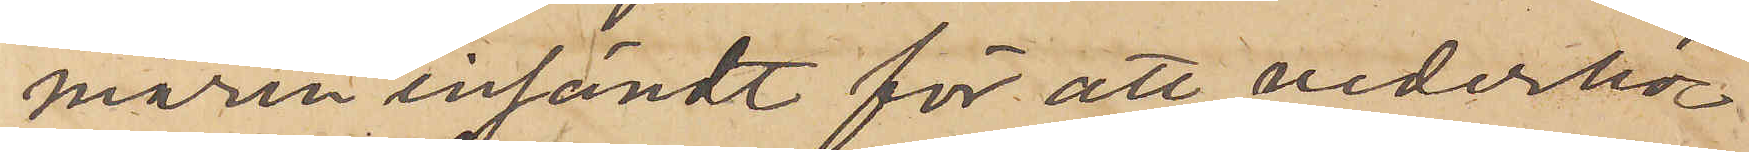maren insändt för att vederbö¬
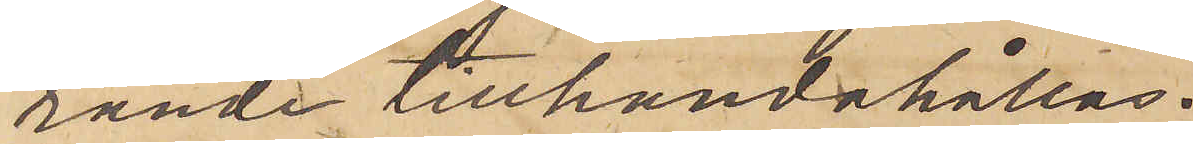rande tillhandahållas.
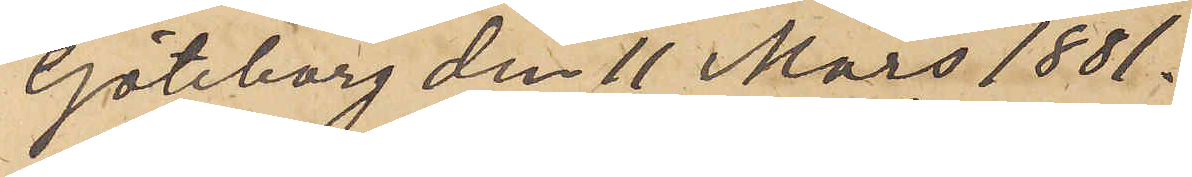Göteborg den 11 Mars 1881.
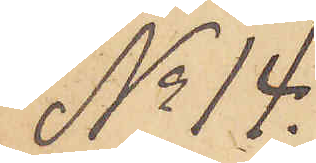No 14.
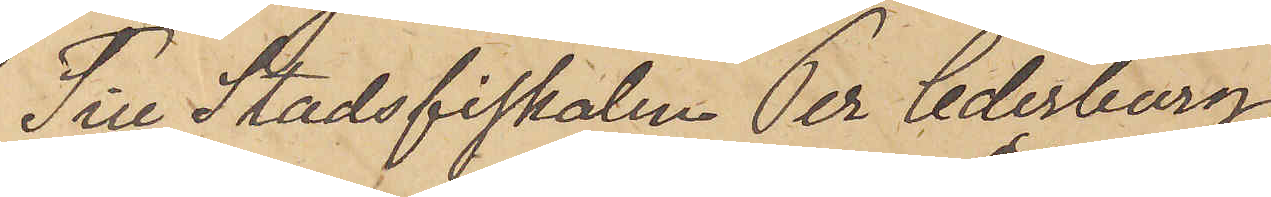Till Stadsfiskalen Per Cederborg.
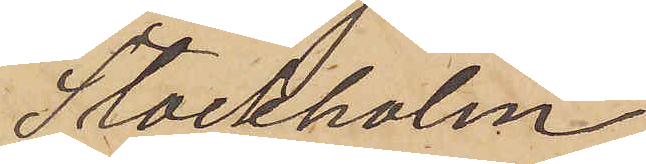Stockholm.
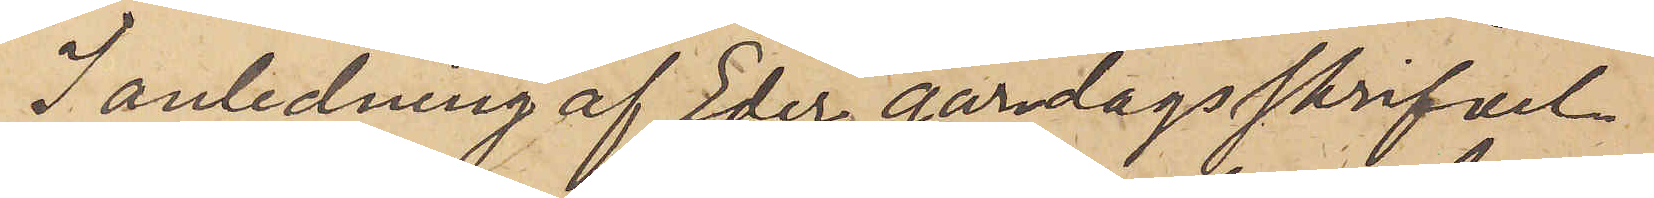I anledning af Eder gårdagsskrifvel¬
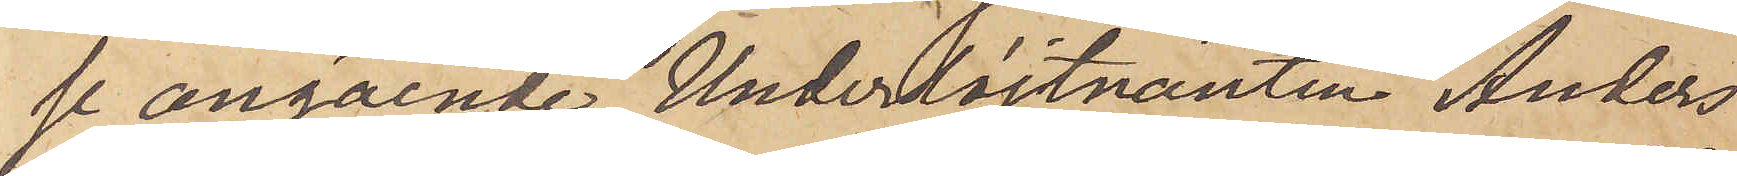se angående Underlöjtnanten Anders
